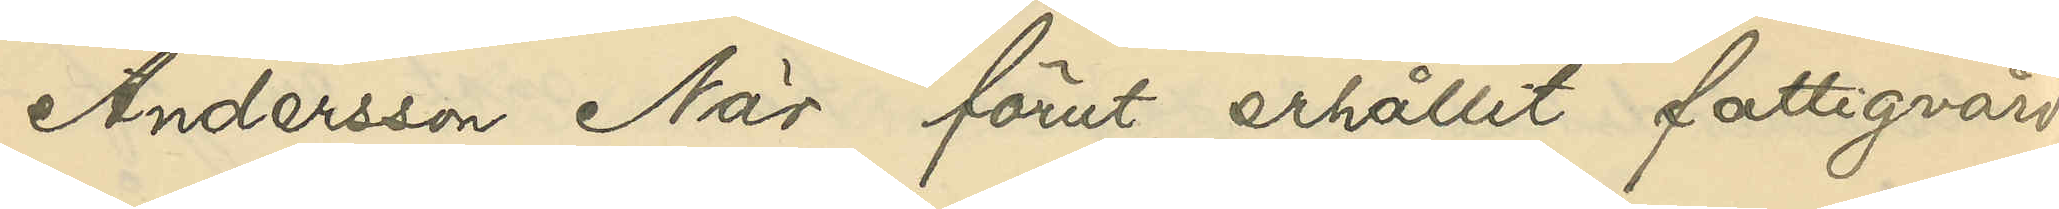Andersson När förut erhållit fattigvård.
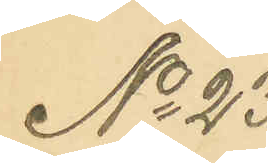No 23
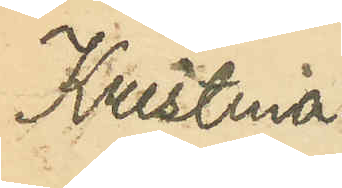Kristina
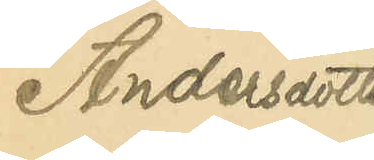Andersdotter
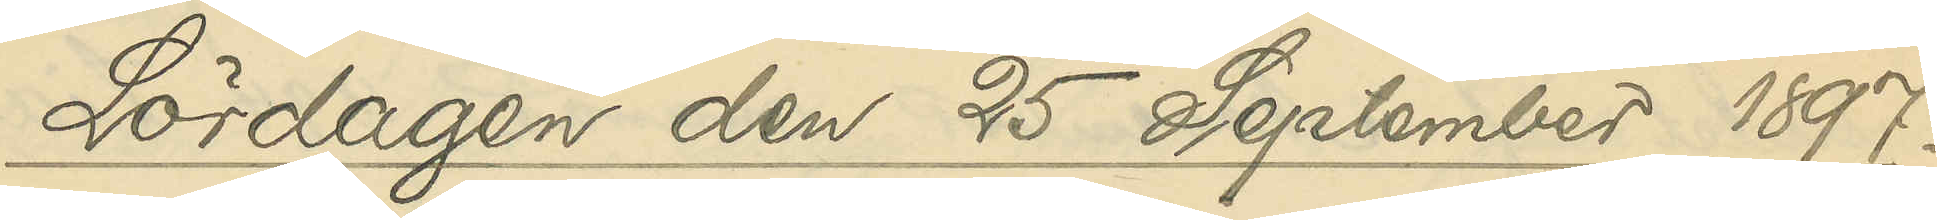Lördagen den 25 September 1897.
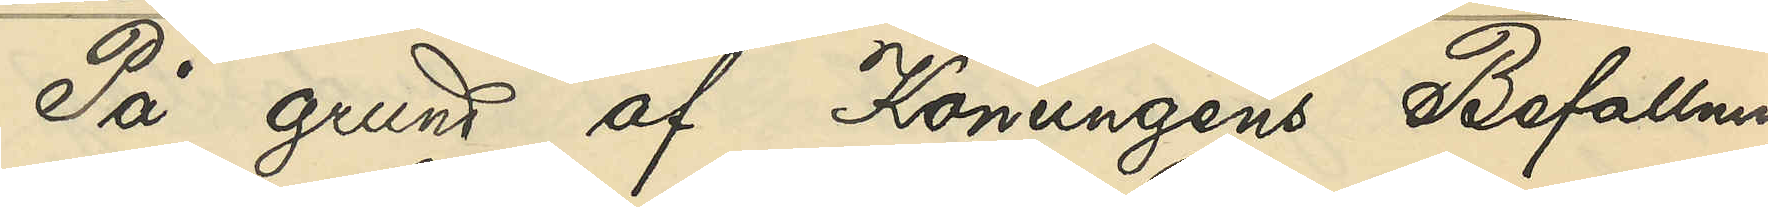På grund af Konungens Befallnings¬
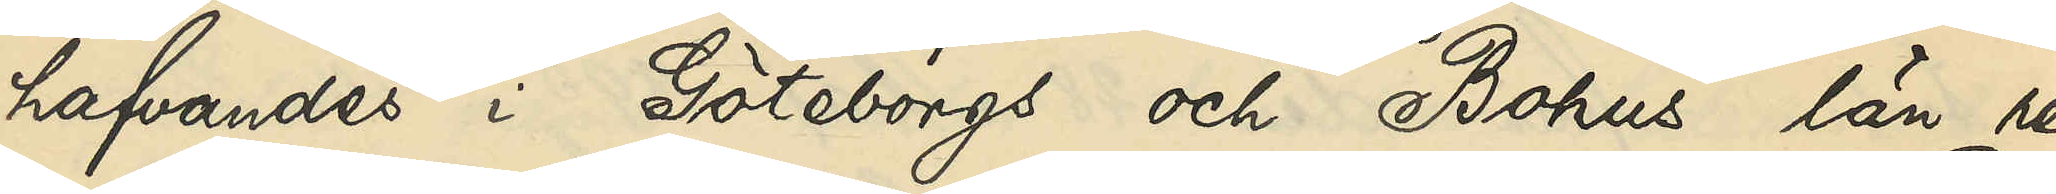hafvandes i Göteborgs och Bohus län re¬
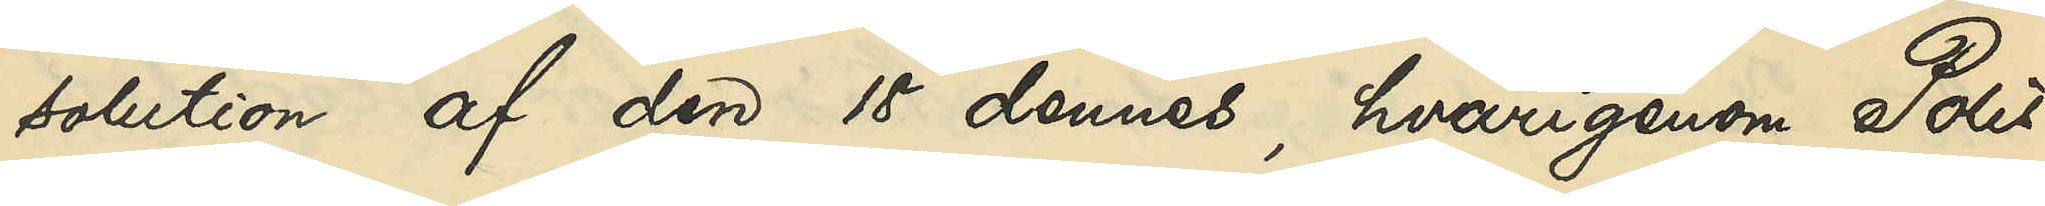solution af den 18 dennes, hvarigenom Polis¬
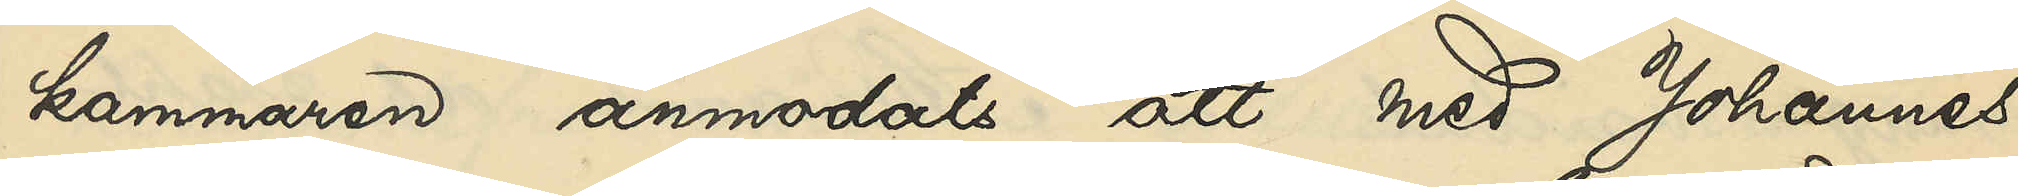kammaren anmodats att med Johannes
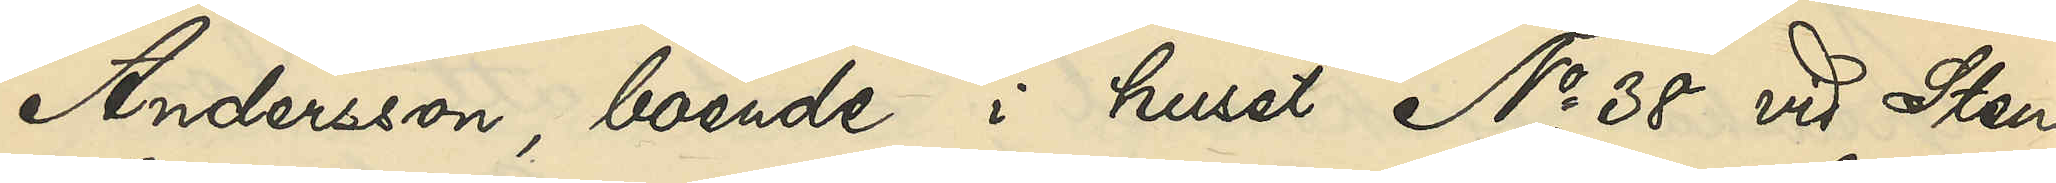Andersson, boende i huset No 38 vid Sten¬
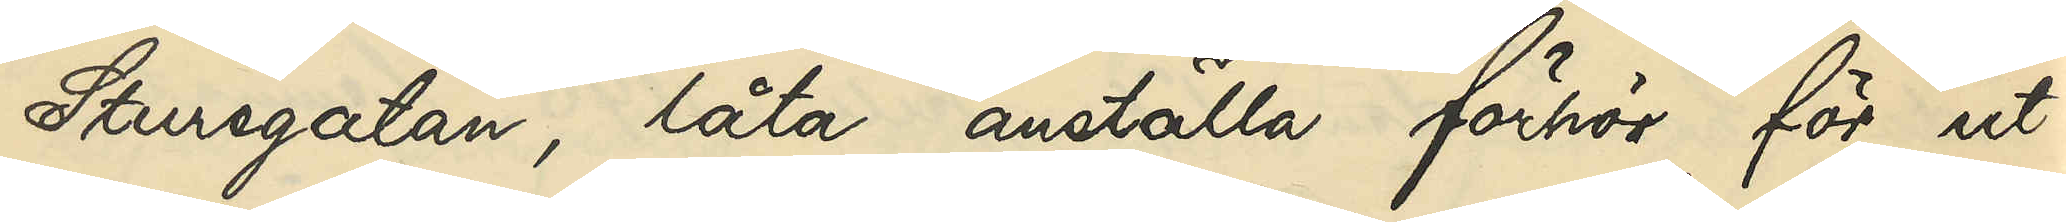Sturegatan, låta anställa förhör för ut¬
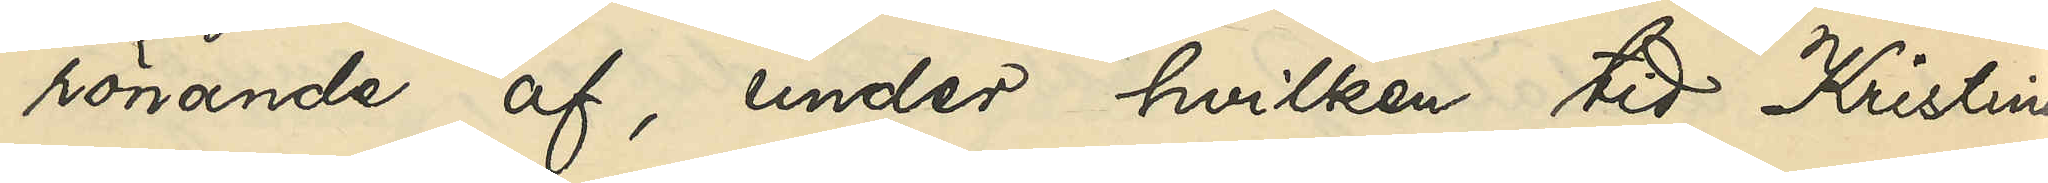rönande af, under hvilken tid Kristina
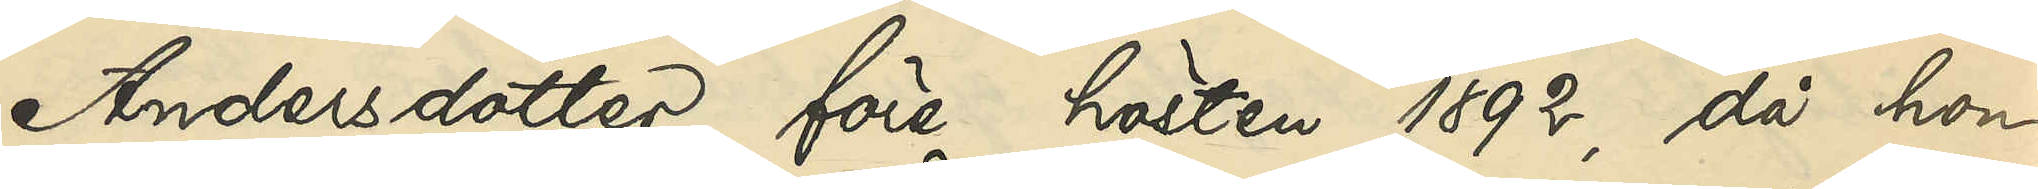Andersdotter före hösten 1892, då hon
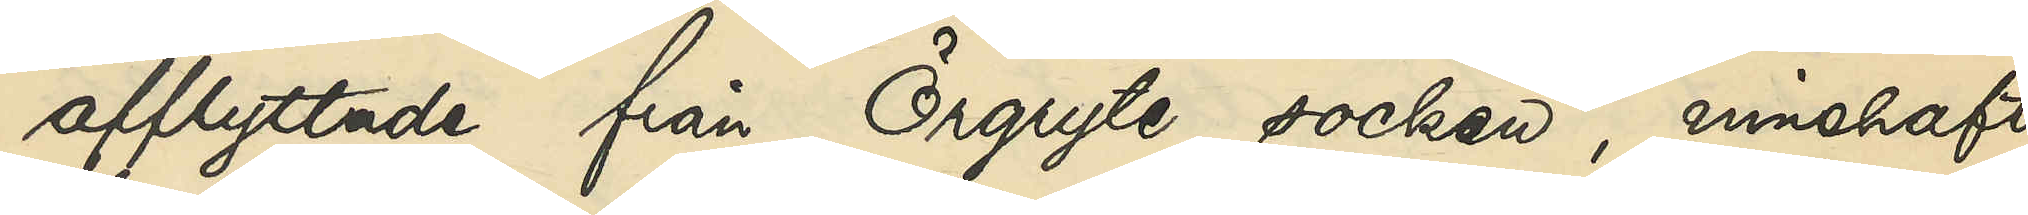afflyttade från Örgryte socken, innehaft
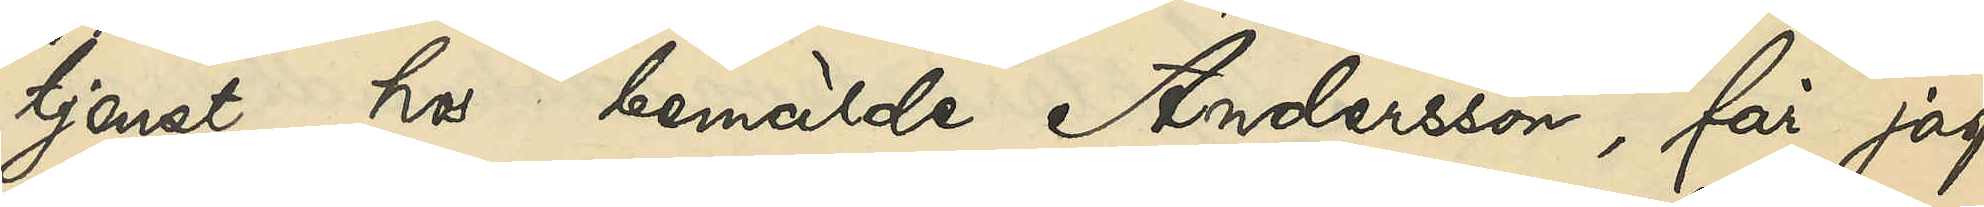tjenst hos bemälde Andersson, får jag
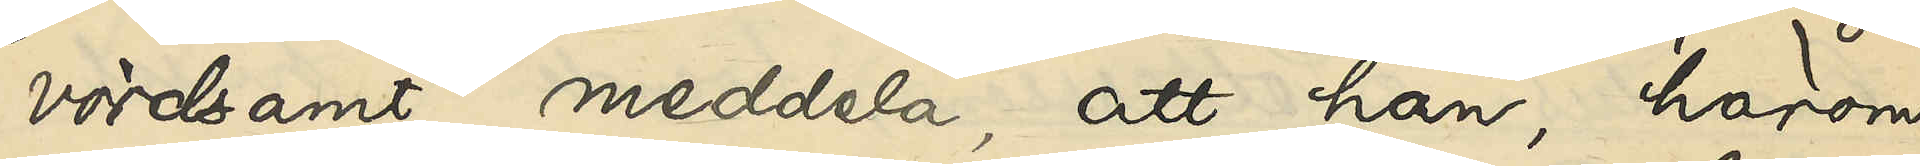vördsamt meddela, att han härom
